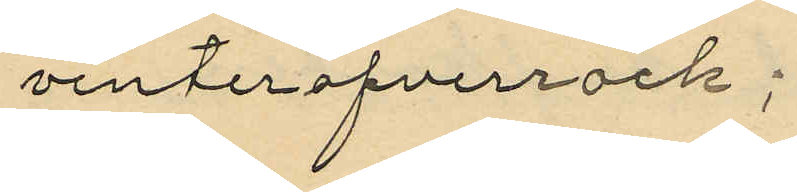vinteröfverrock;
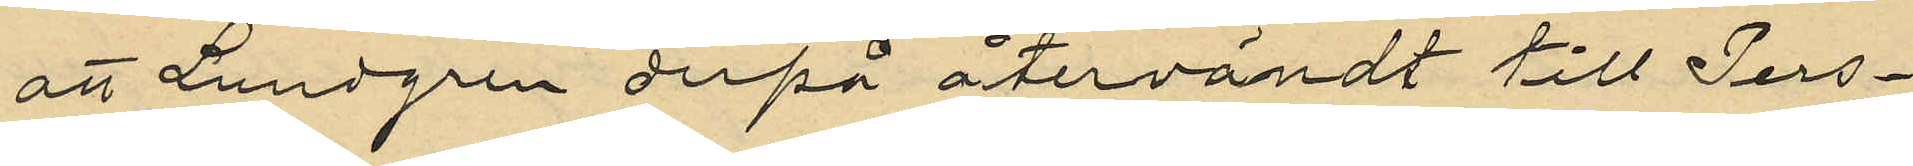att Lundgren derpå återvändt till Pers¬
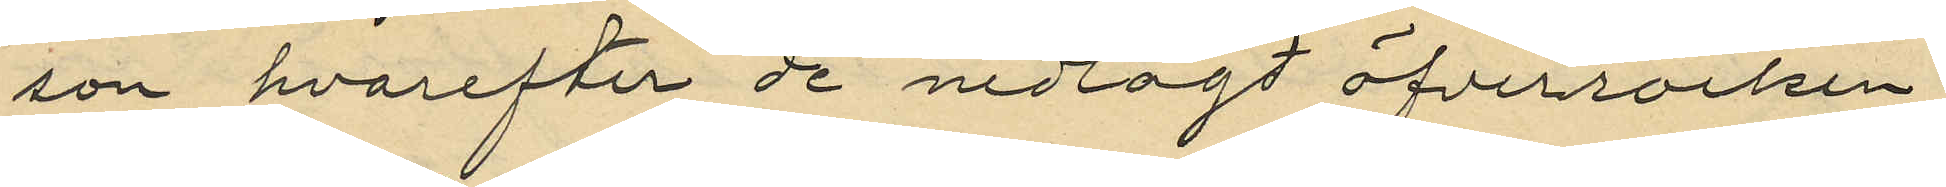son hvarefter de nedlagd öfverrocken
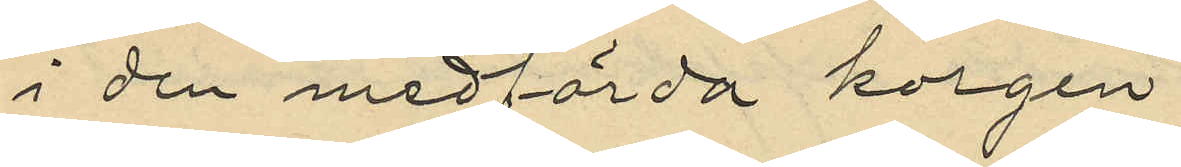i den medförda korgen
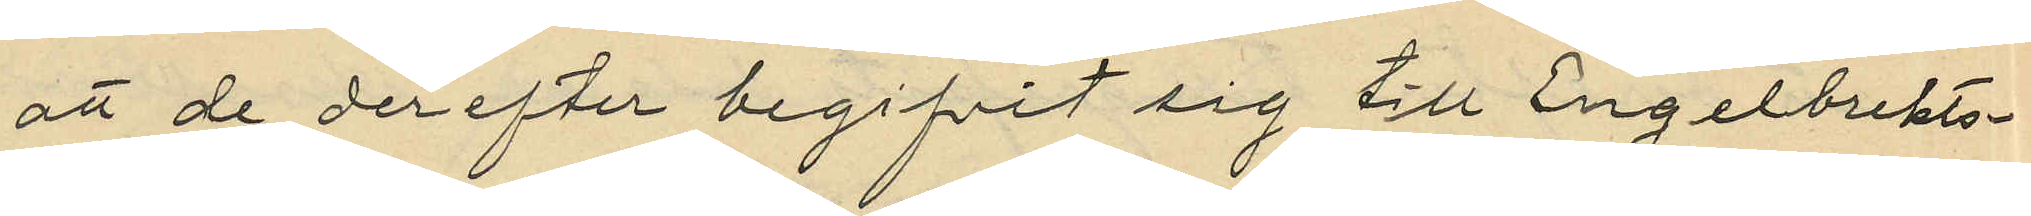att de derefter begifvit sig till Engelbrekts¬
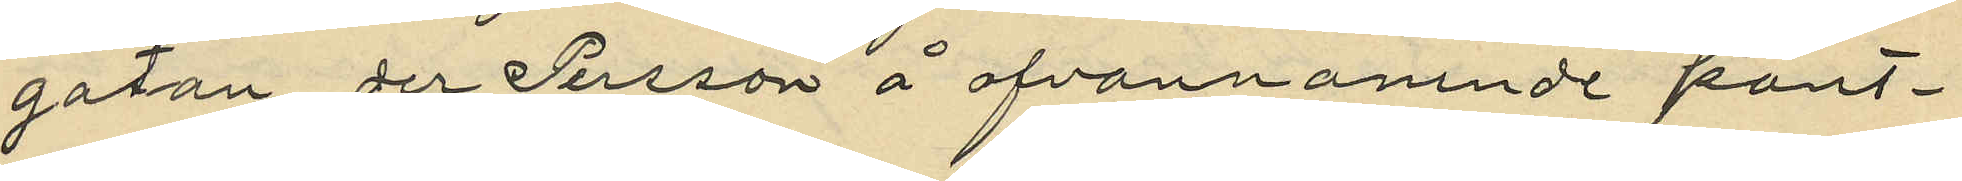gatan der Persson å ofvannämnde pant¬
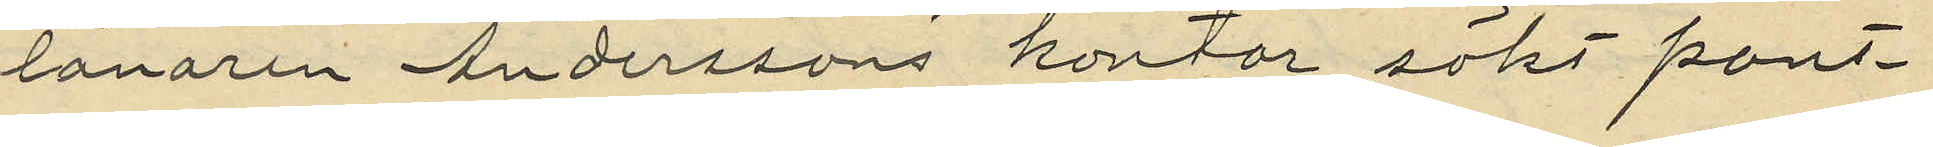lånaren Anderssons kontor sökt pant¬
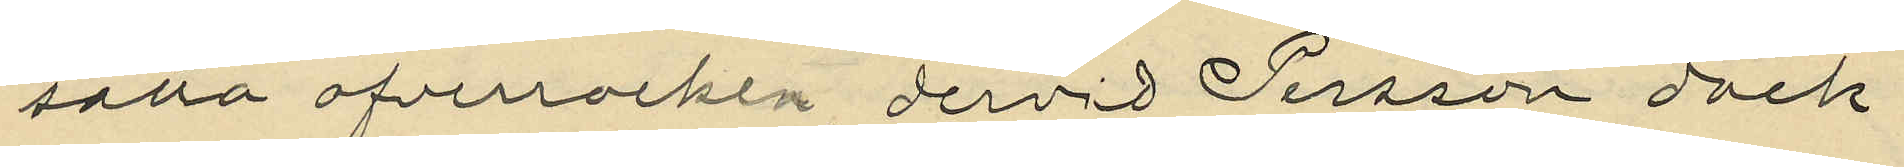satta öfverrocken dervid Persson dock
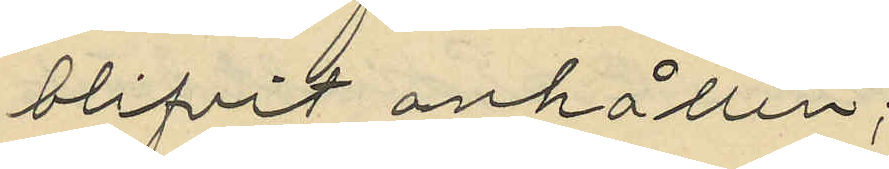blifvit anhållen;
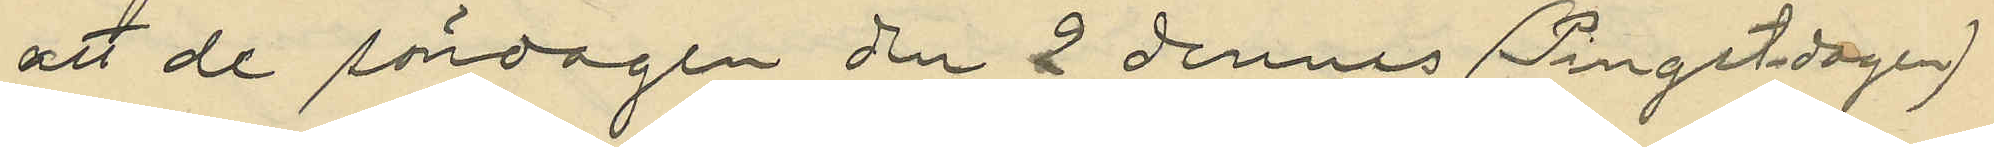att de söndagen den 2 dennes (Pingstdagen)
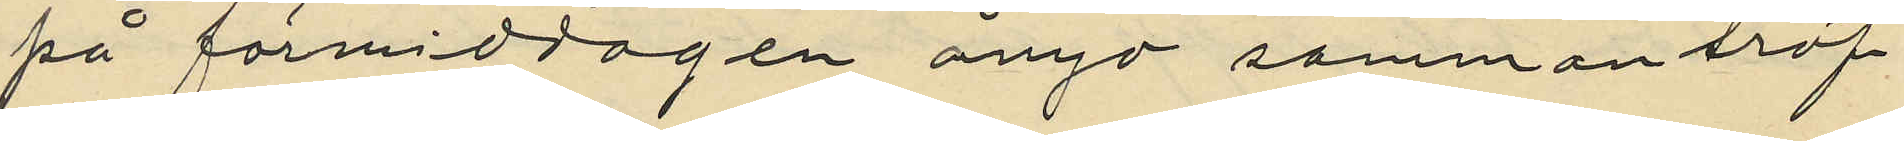på förmiddagen ånyo sammanträf¬
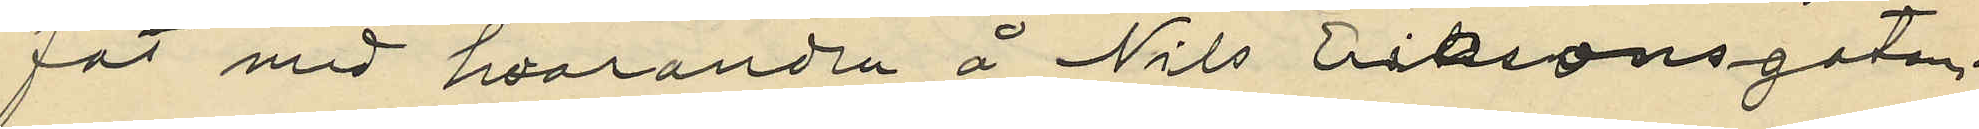fat med hvarandra å Nils Eriksonsgatan.
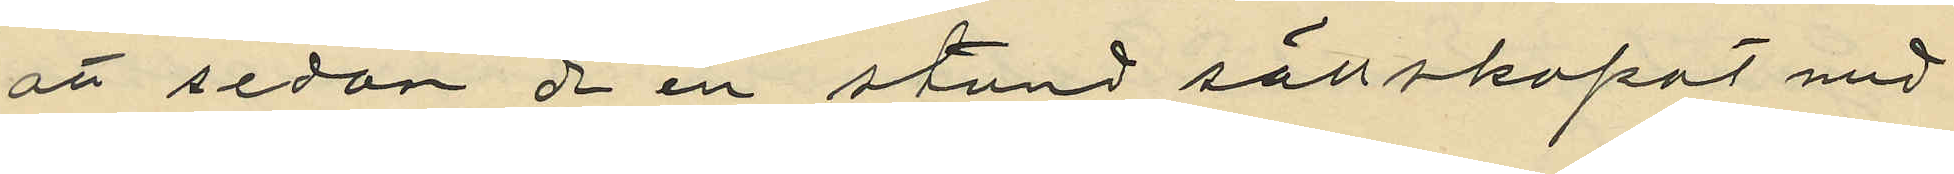att sedan de en stund sällskapat med
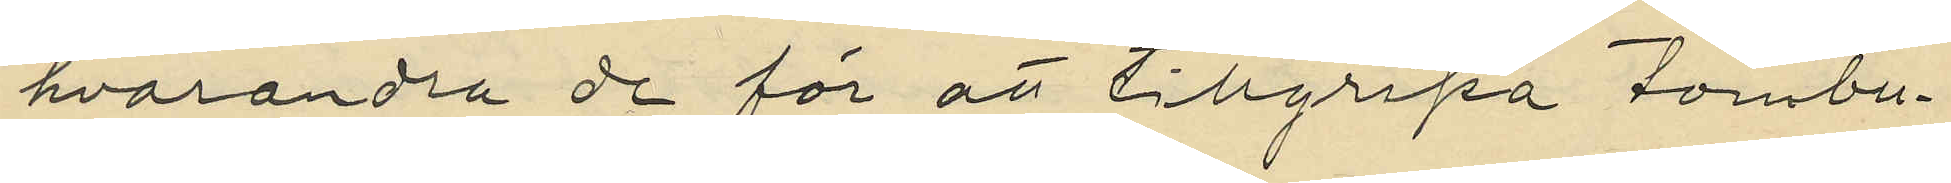hvarandra de för att tillgripa tombu¬
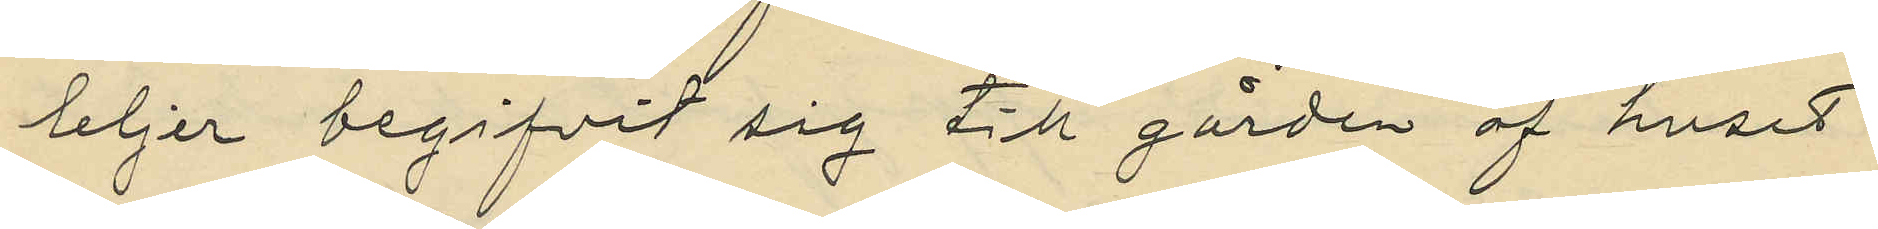teljer begifvit sig till gården af huset
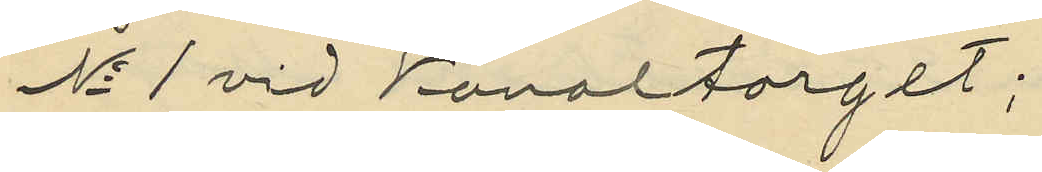No 1 vid Kanaltorget;
